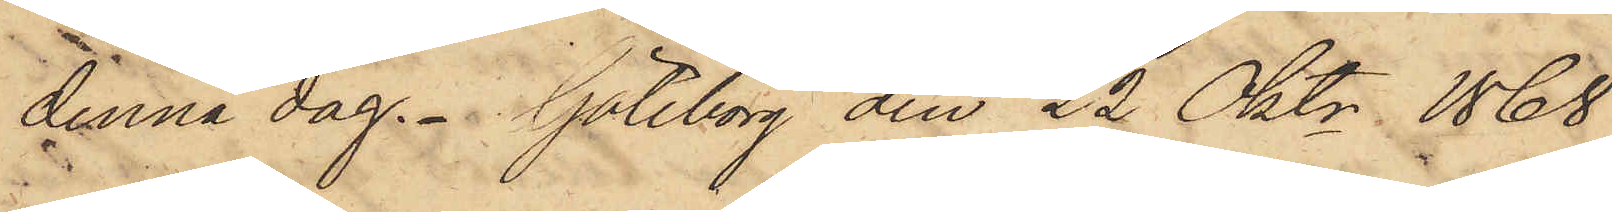denna dag. Göteborg den 22 Oktr 1868
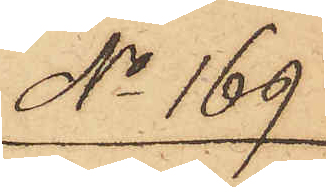No 169
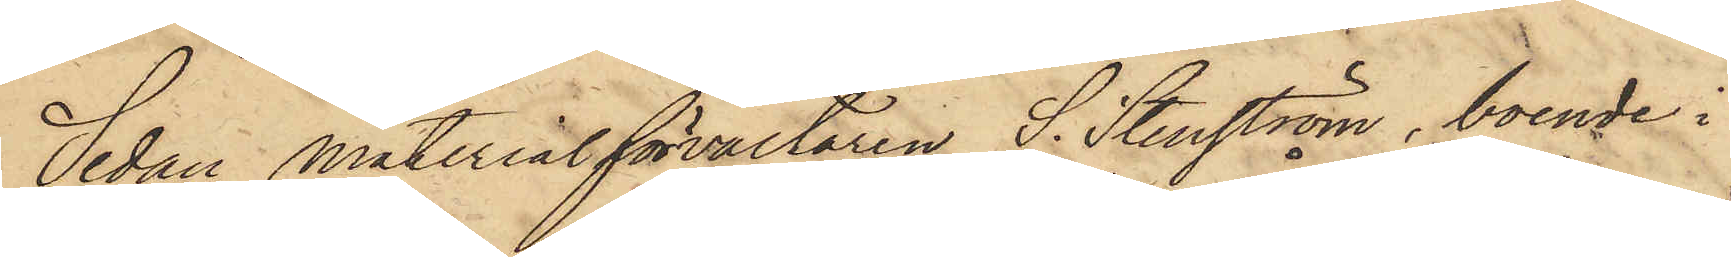Sedan Materialförvaltaren S. Stenström, boende i
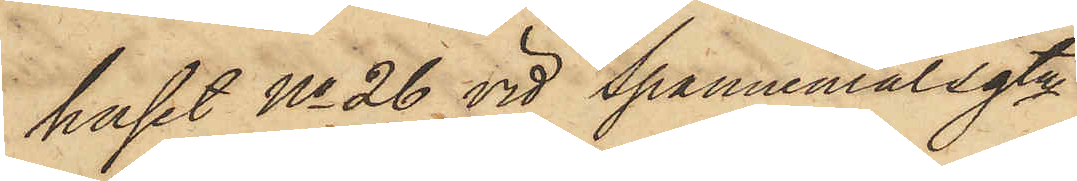huset No 26 vid Spannemålsgtn
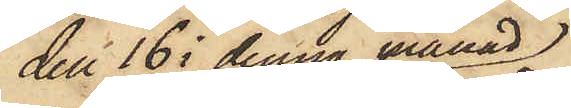den 16 i denna månad
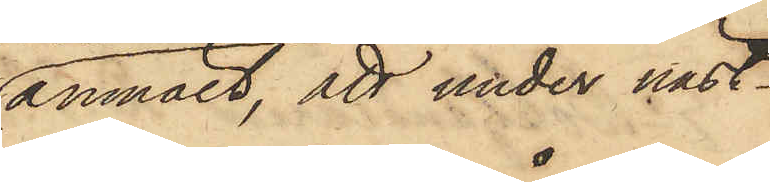anmält, att under näst¬
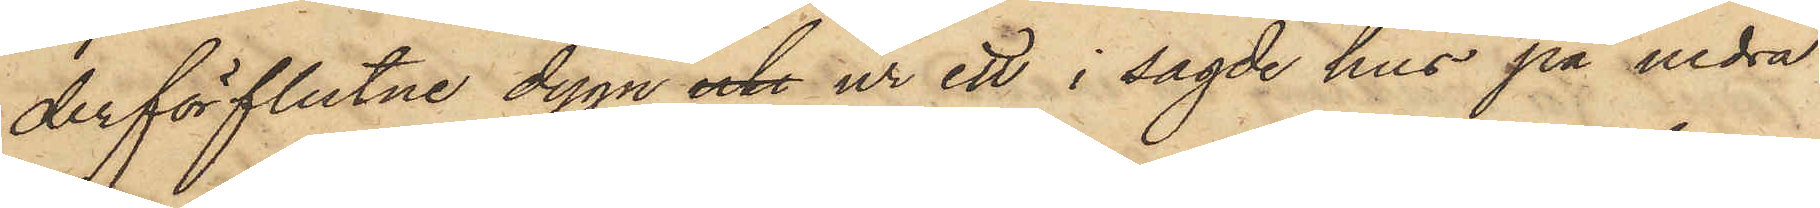derförflutne dygn och ur ett i sagde hus på nedra
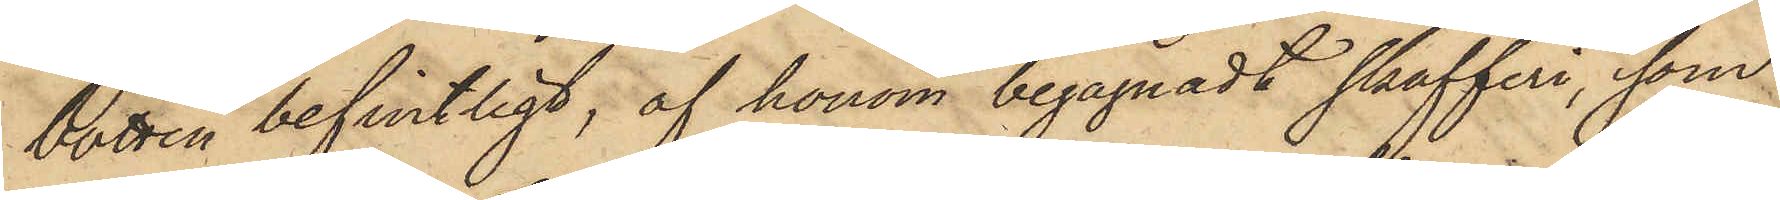botten befintligt, af honom begagnadt skafferi, som
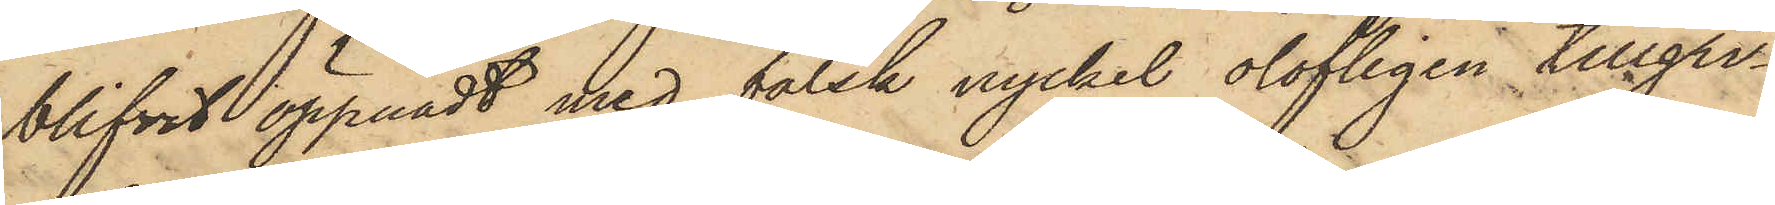blifvit öppnadt med falsk nyckel, olofligen tillgri¬
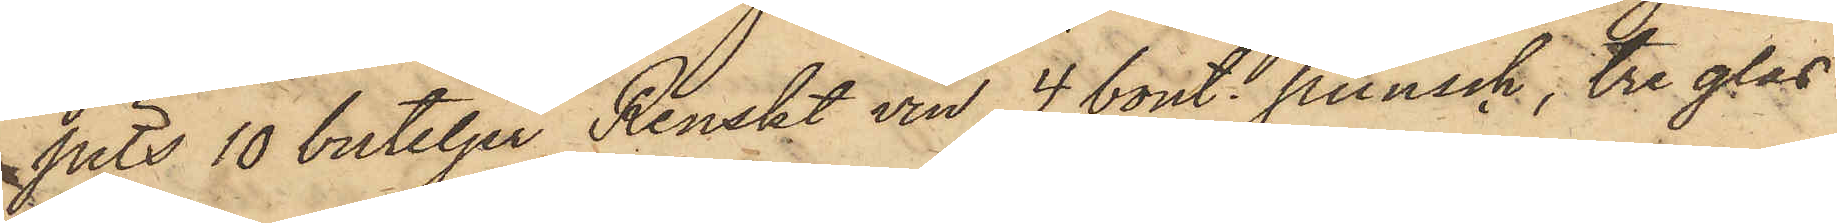pits 10 buteljer Renskt vin, 4 bout. punsch, tre glas
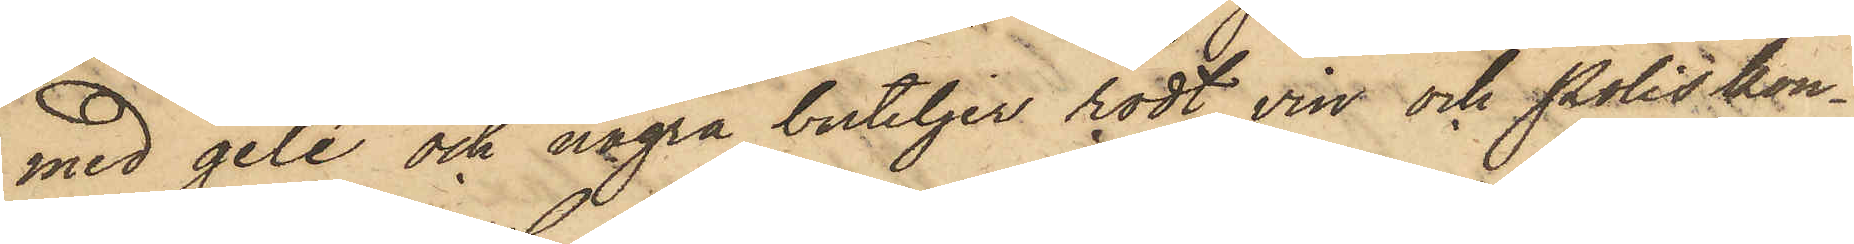med gelé och några buteljer rödt vin och Poliskon¬
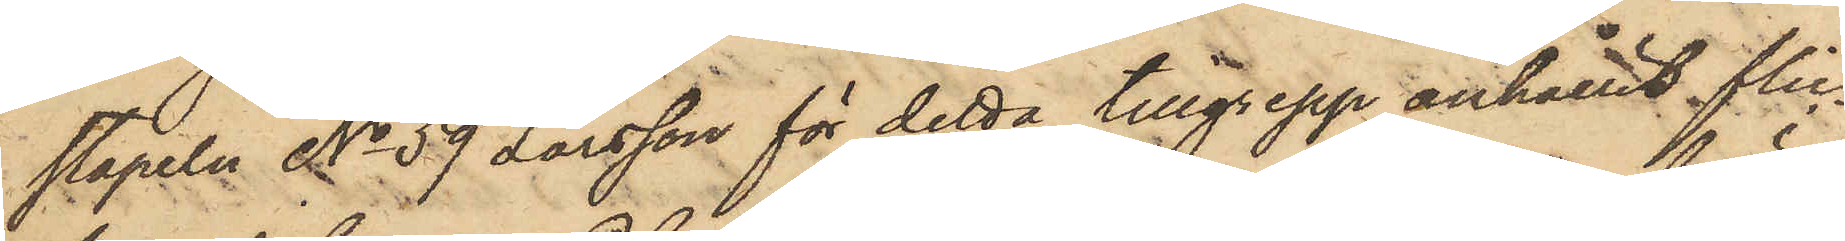stapeln No 59 Larsson för detta tillgrepp anhållit flic¬
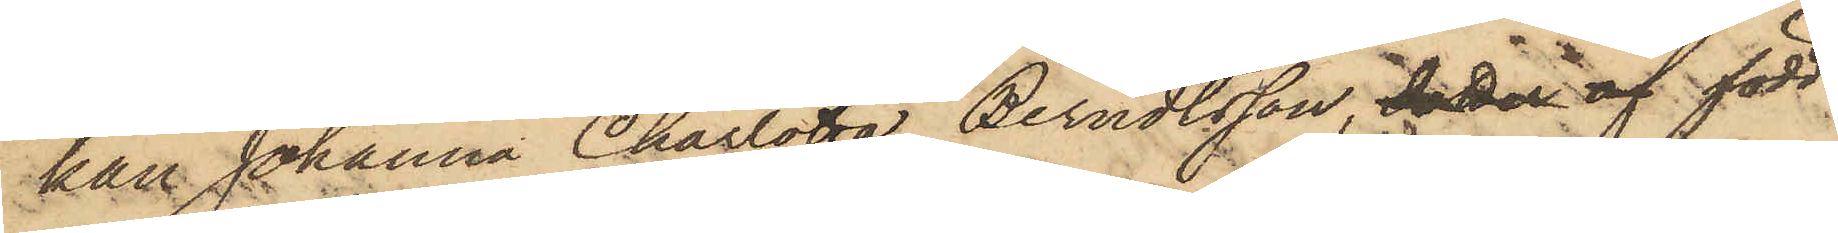kan Johanna Charlotta Berndtsson, dotter af född
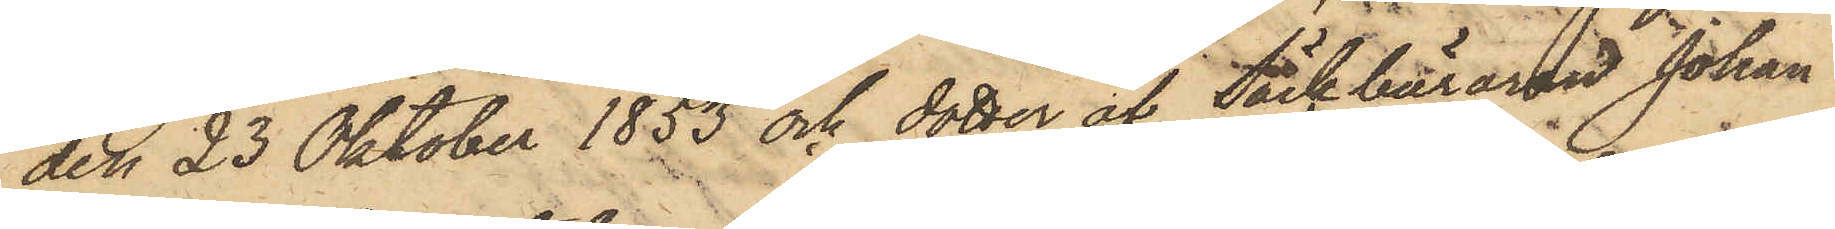den 23 Oktober 1853 och dotter af Säckbäraren Johan
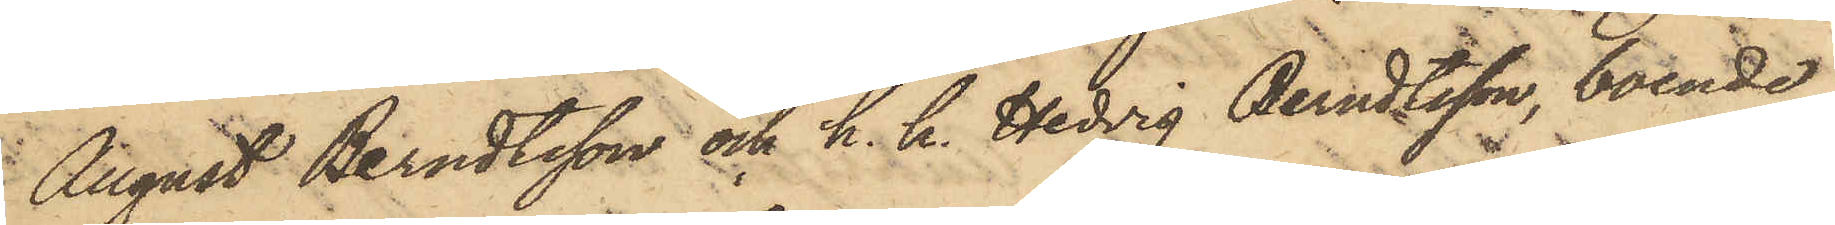August Berndtsson och h. h. Hedvig Berndtsson, boende
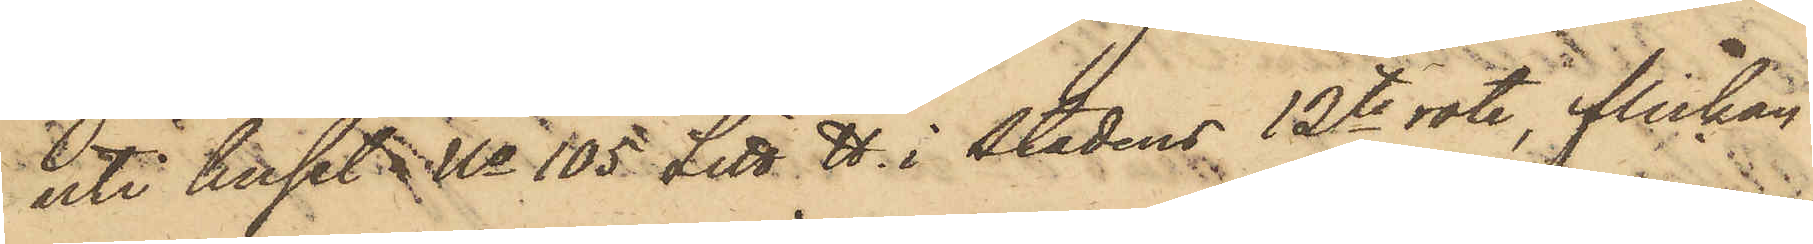uti huset No 105 Litt. H. i stadens 12te rote, flickan
